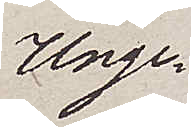Unge¬
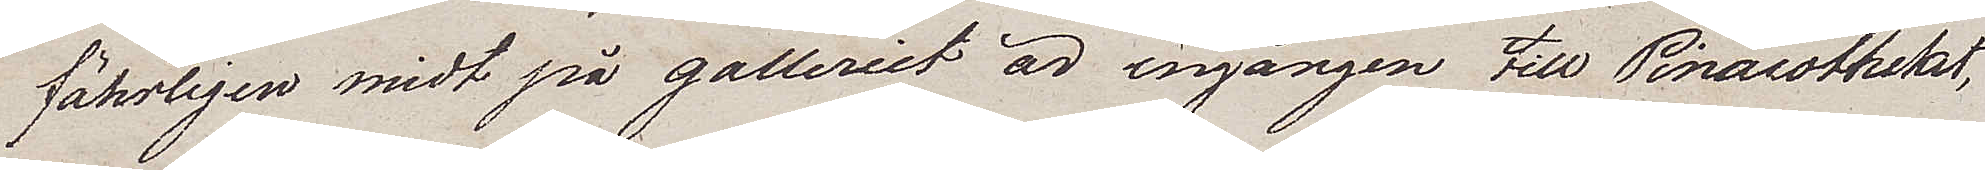färligen midt på galleriet är ingången till Pinacotheket,
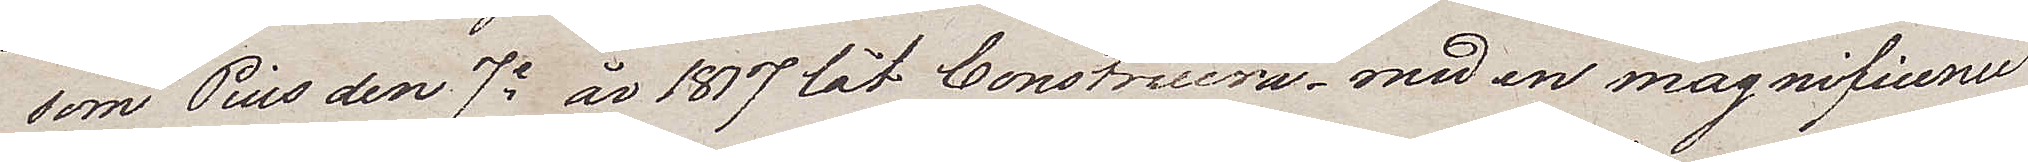som Pius den 7e år 1817 lät Construera – med en magnificence
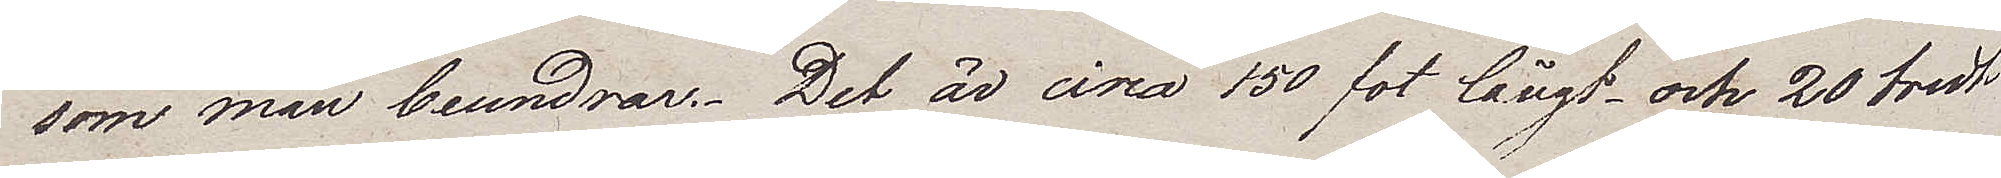som man beundrar. Det är circa 150 fot långt och 20 bredt
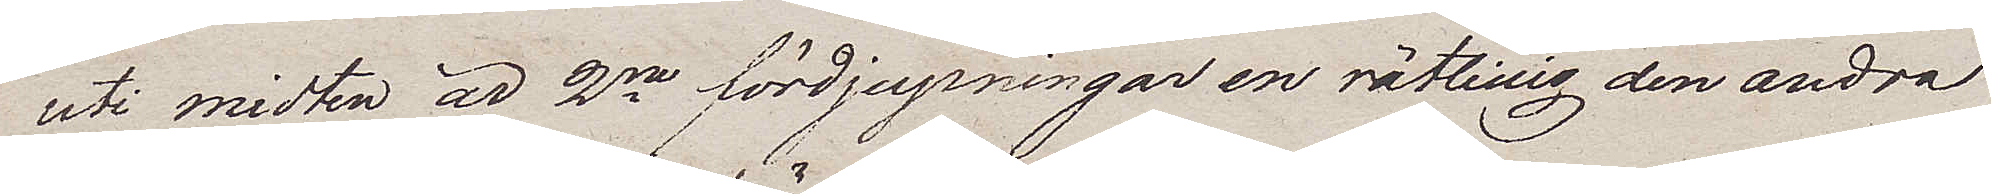uti midten är 2ne fördjupningar en rätlinig den andra
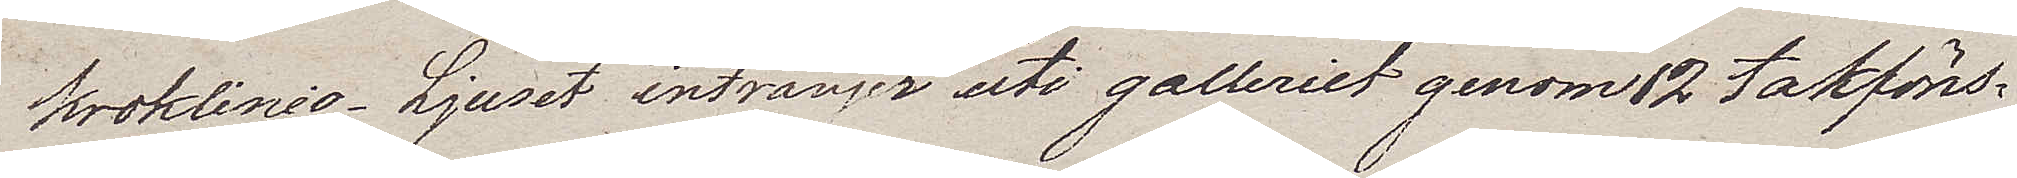kroklinig. Ljuset intränger uti galleriet genom 12 takföns¬
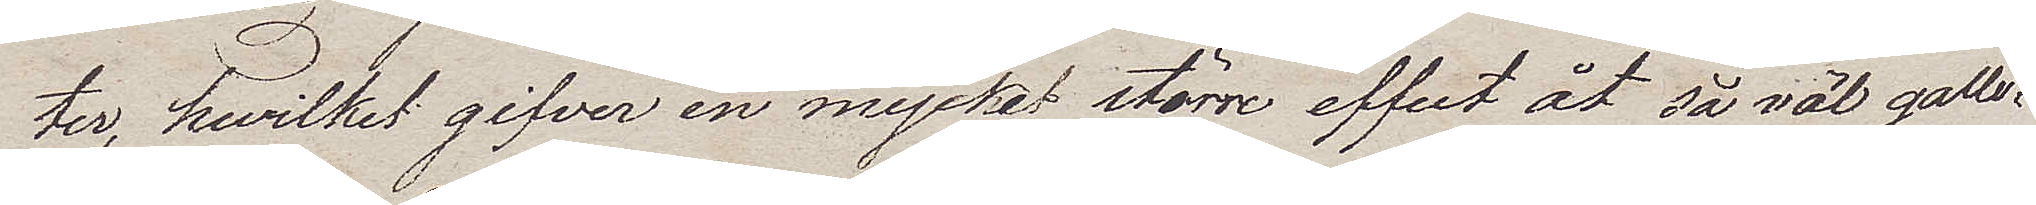ter, hwilket gifver en mycket större effect åt så väl galle¬
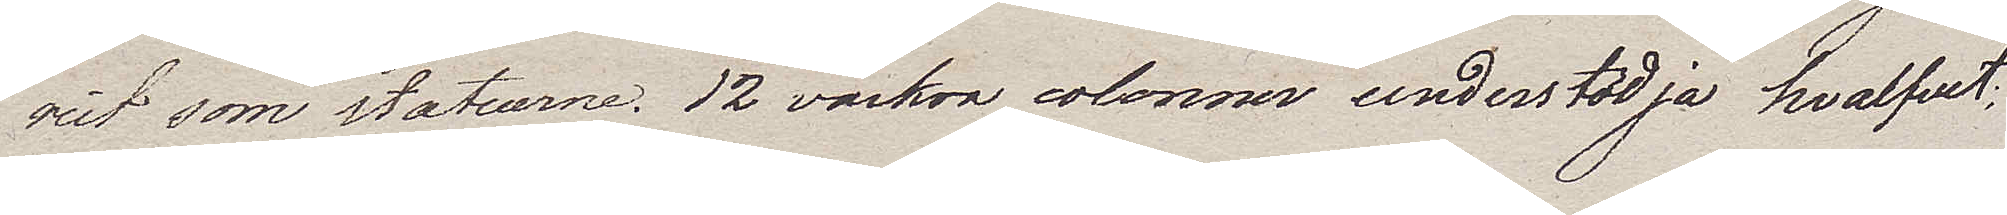riet som statuerne. 12 vackra colonner understödja hvalfvet;
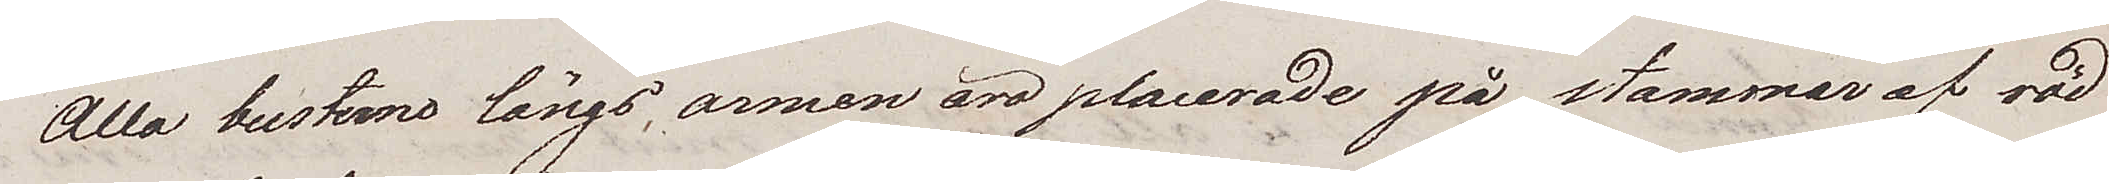Alla busterna längs, armen äro placerade på stammar af röd
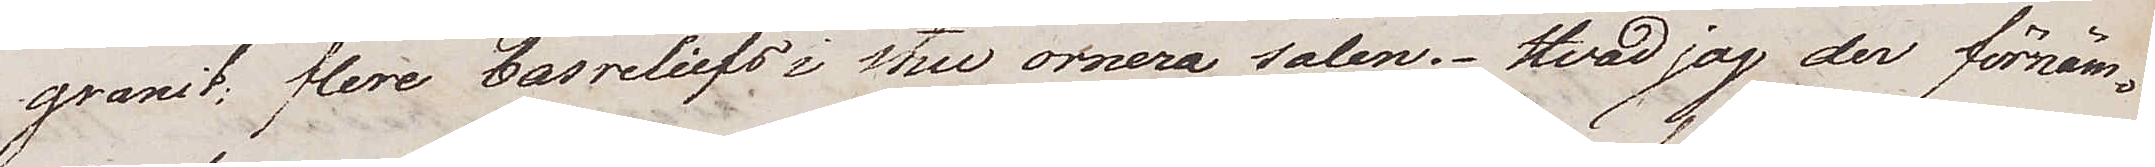granit; flere basreliefs i stuc ornera salen. Hvad jag der förnäm¬
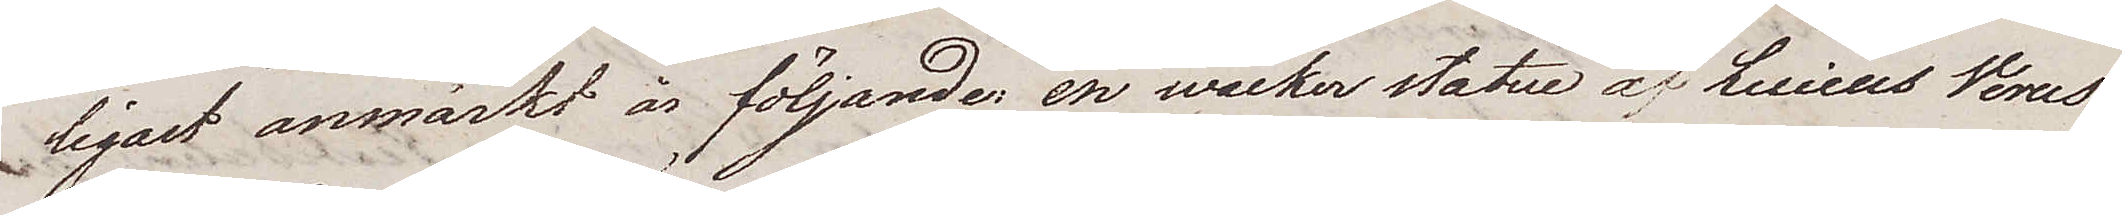ligast anmärkt är följande, en wacker statue av Lucieus Verus
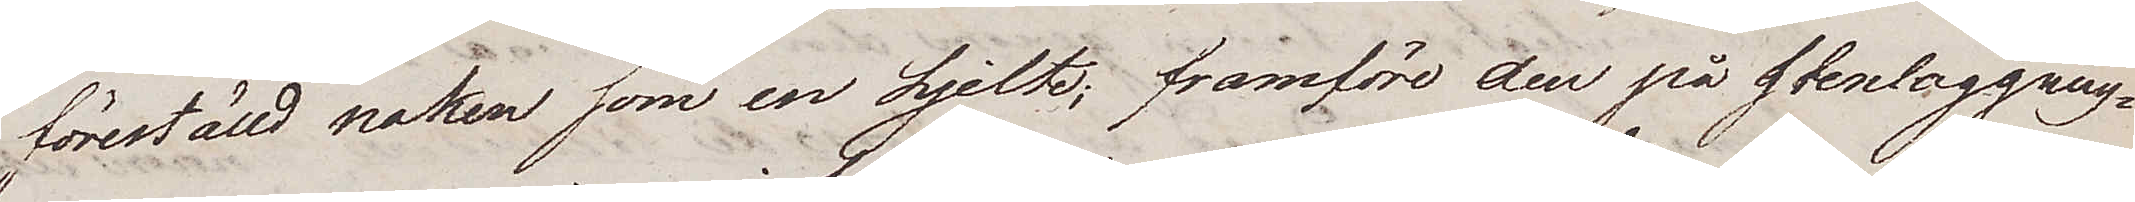föreställd naken som en hjelte; framföre den på stenläggning¬
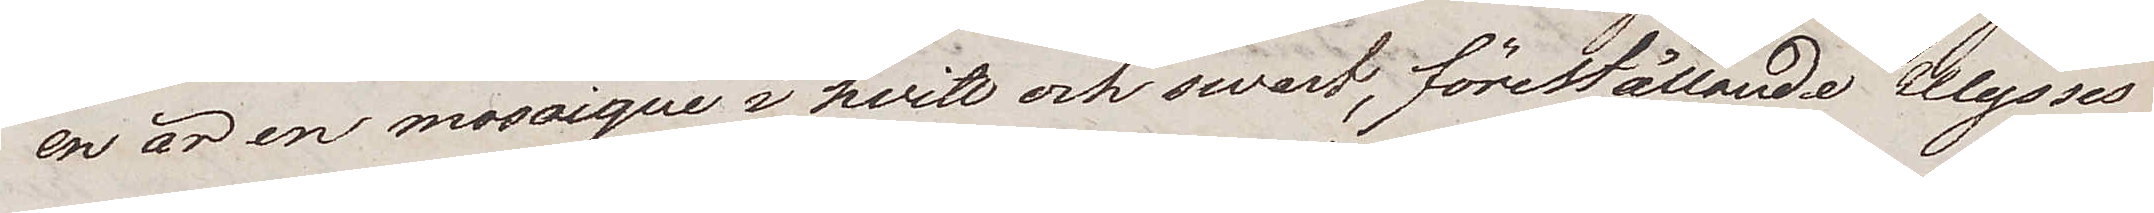en är en mosaique i hvitt och swart, föreställande Olysses
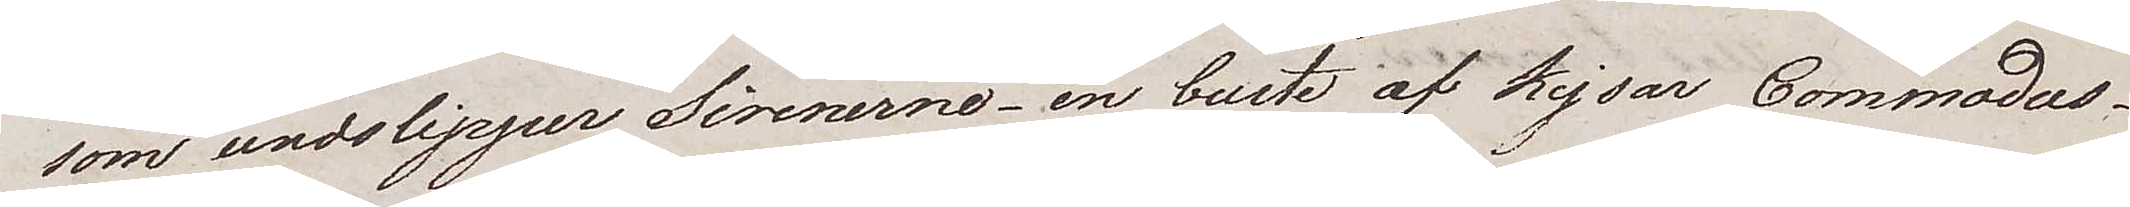som undslipper Sirenerne – en buste af Kejsar Commodus –
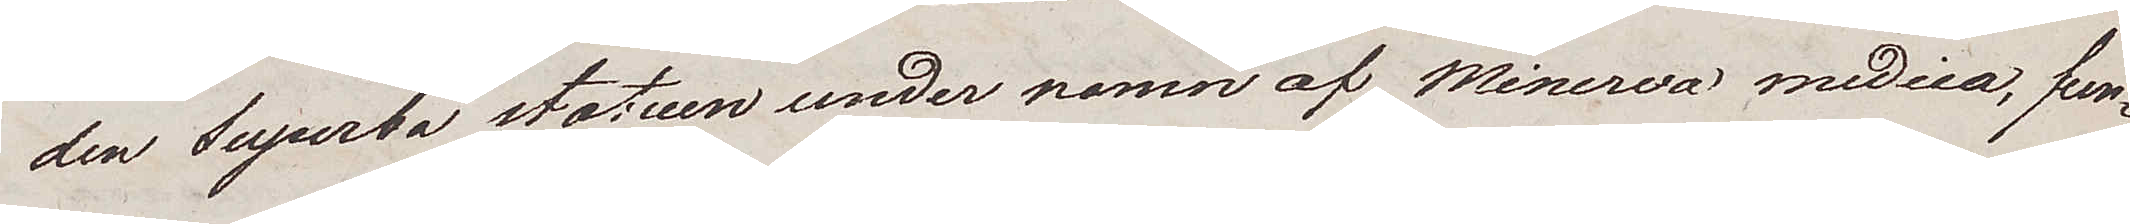den superba statuen under namn af Minerva medica, fun¬
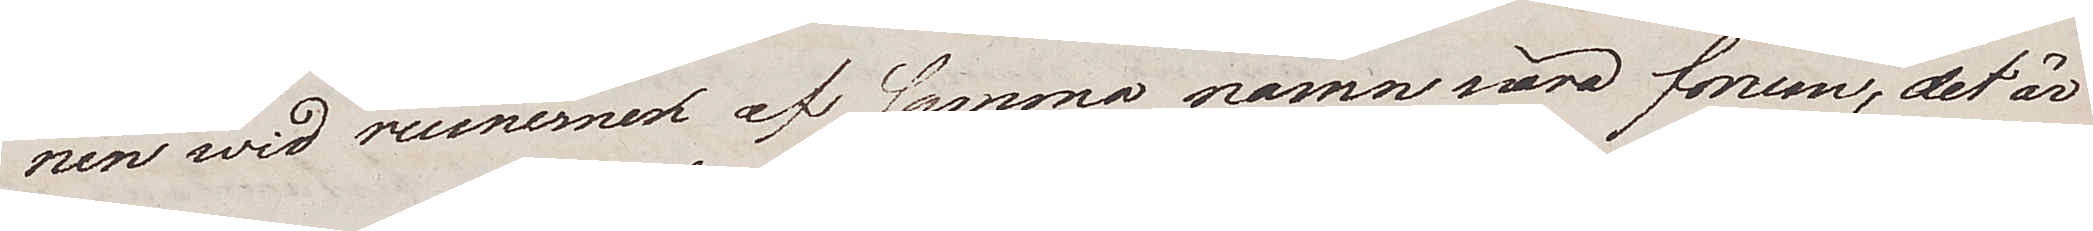nen wid ruinere af samma namn nära forum, det är
